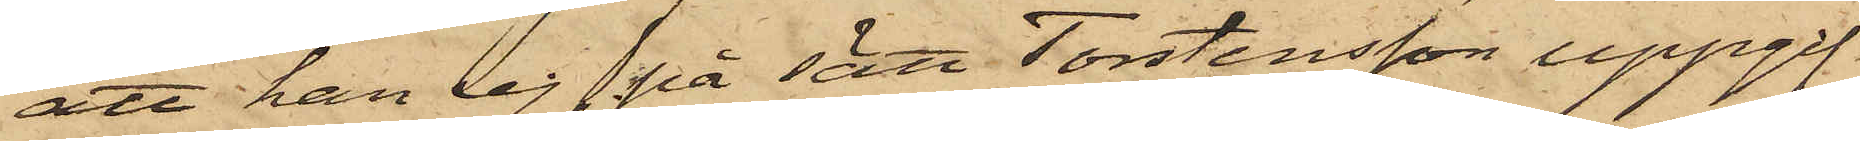att han ej på sätt Torstensson uppgif¬
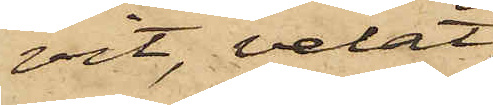vit, velat
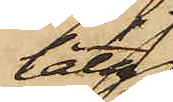låta
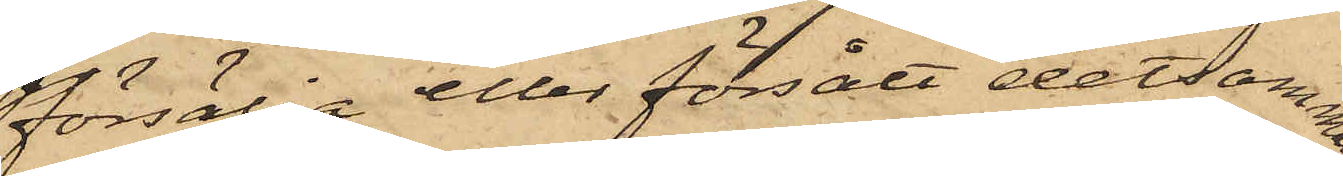försälja eller försålt detsamma.
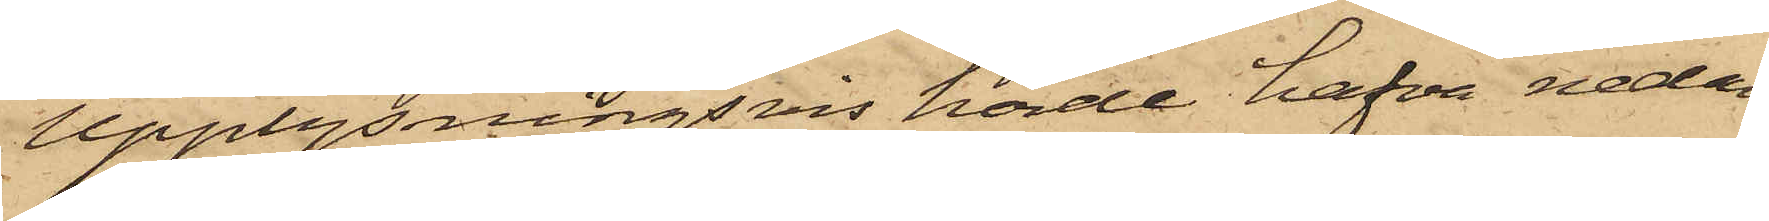Upplysningsvis hörde hafva nedan
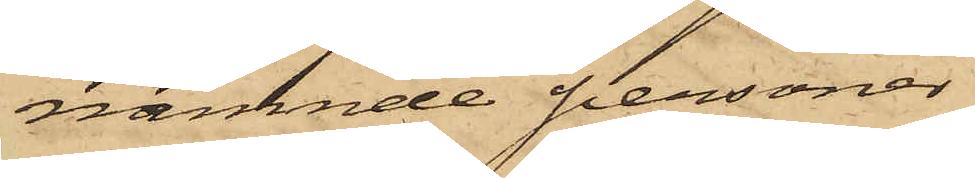nämnde personer
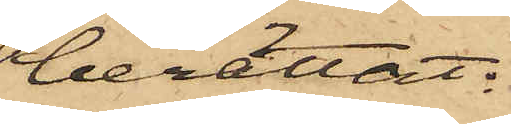berättat:
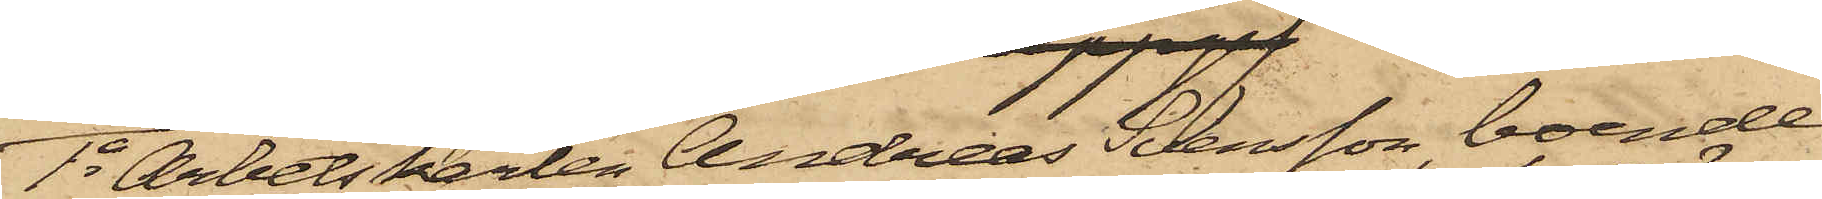1o Arbetskarlen Andreas Persson, boende
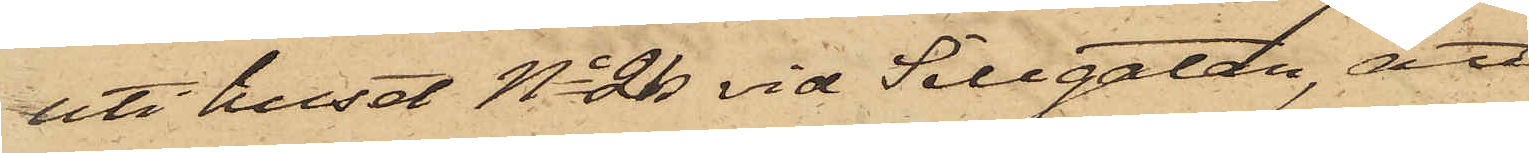uti huset No 26 vid Sillgatan, att
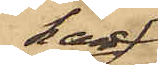han
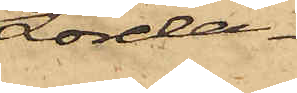Lörda¬
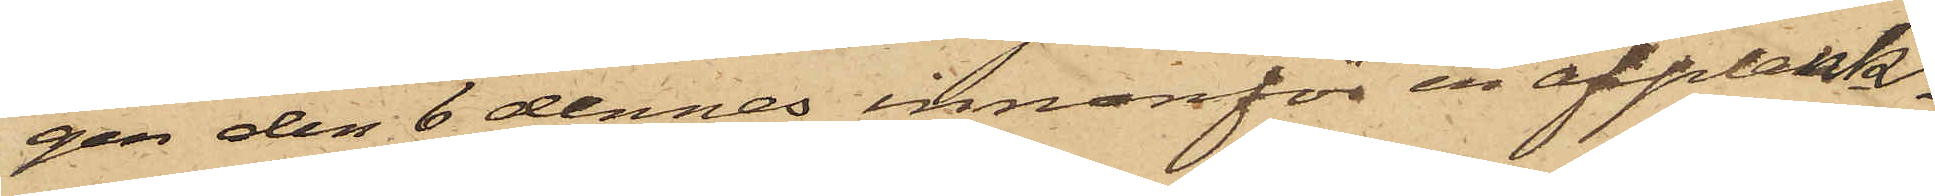gen den 6 dennes innanför en afplank¬
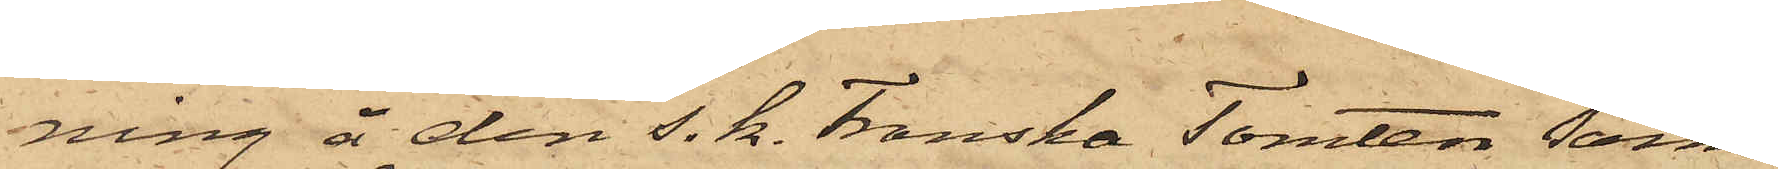ning å den s. k. Franska Tomten sam¬
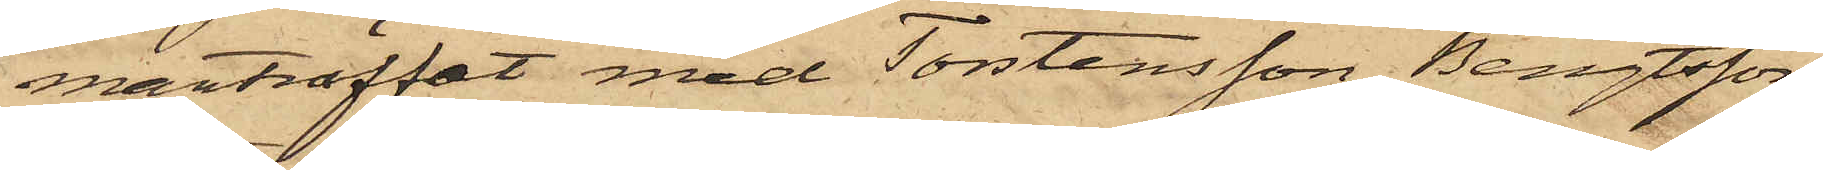manträffat med Torstensson, Bengtsson
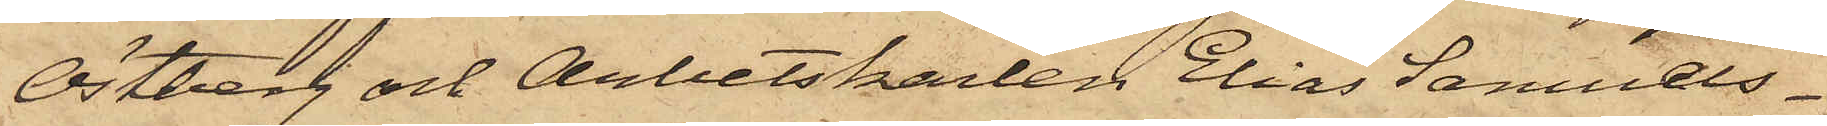Östberg och Arbetskarlen Elias Samuels¬
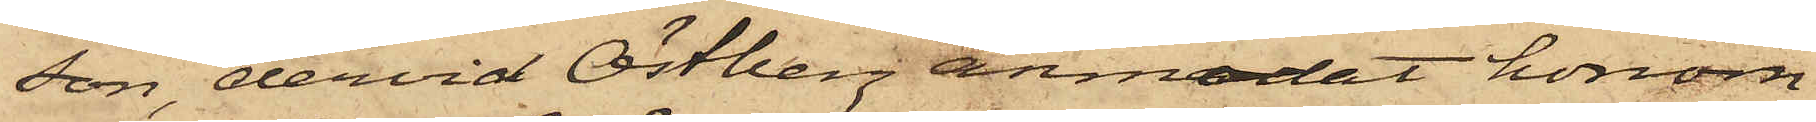son, dervid Östberg anmodat honom
